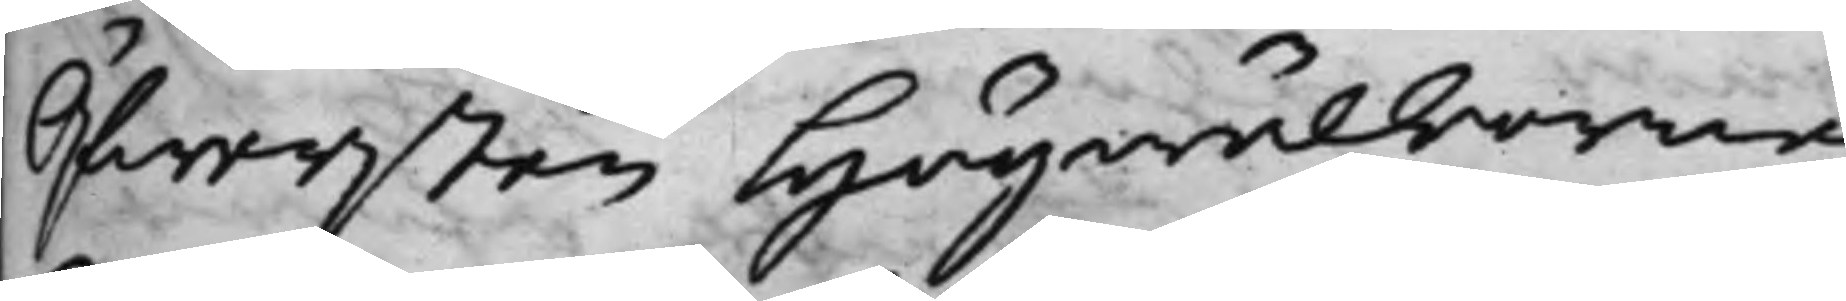Öfwersten Högwälborne
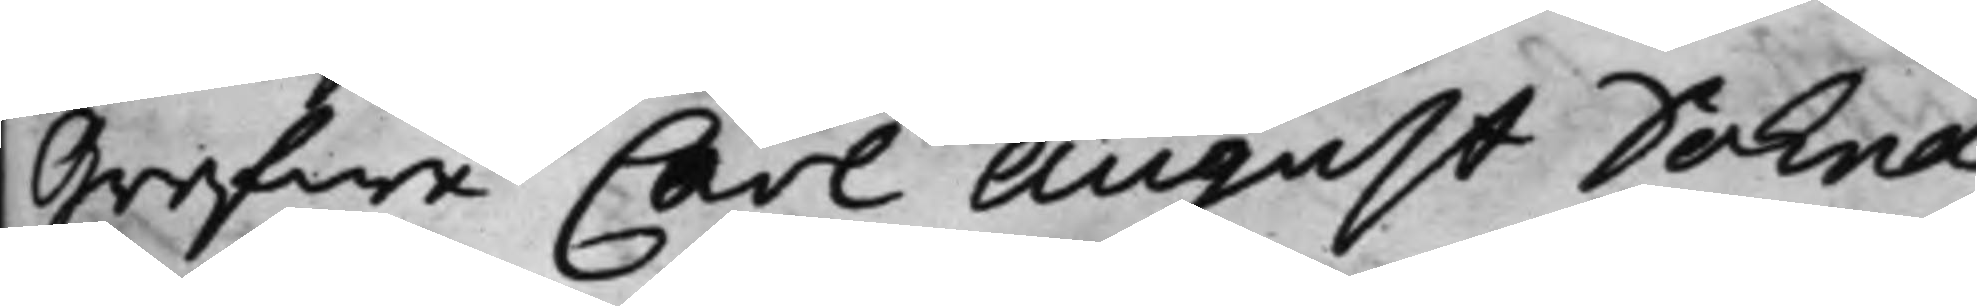Grefwe Carl August Dohna
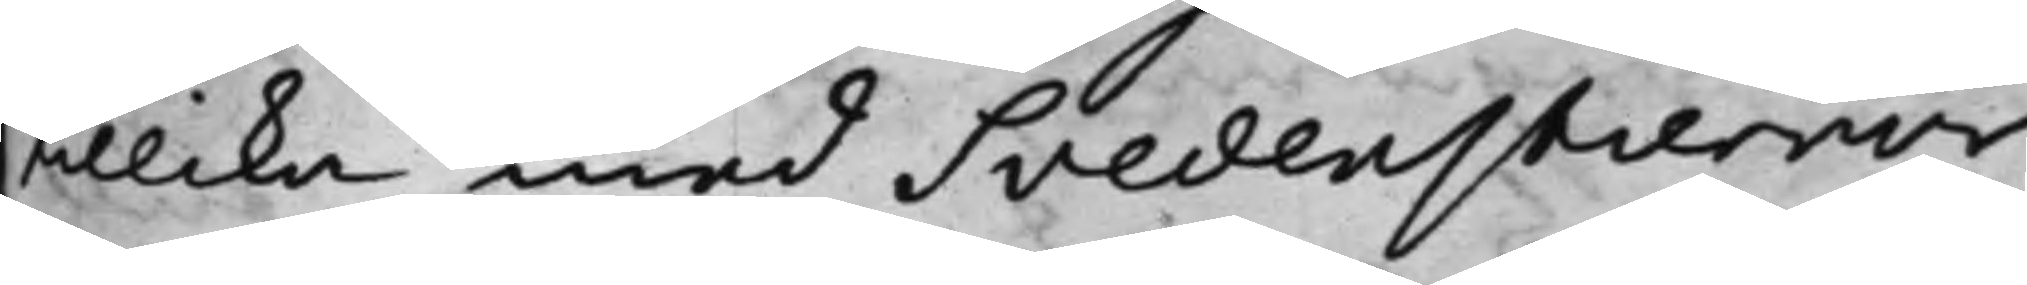tillika med Svedenstiernor¬
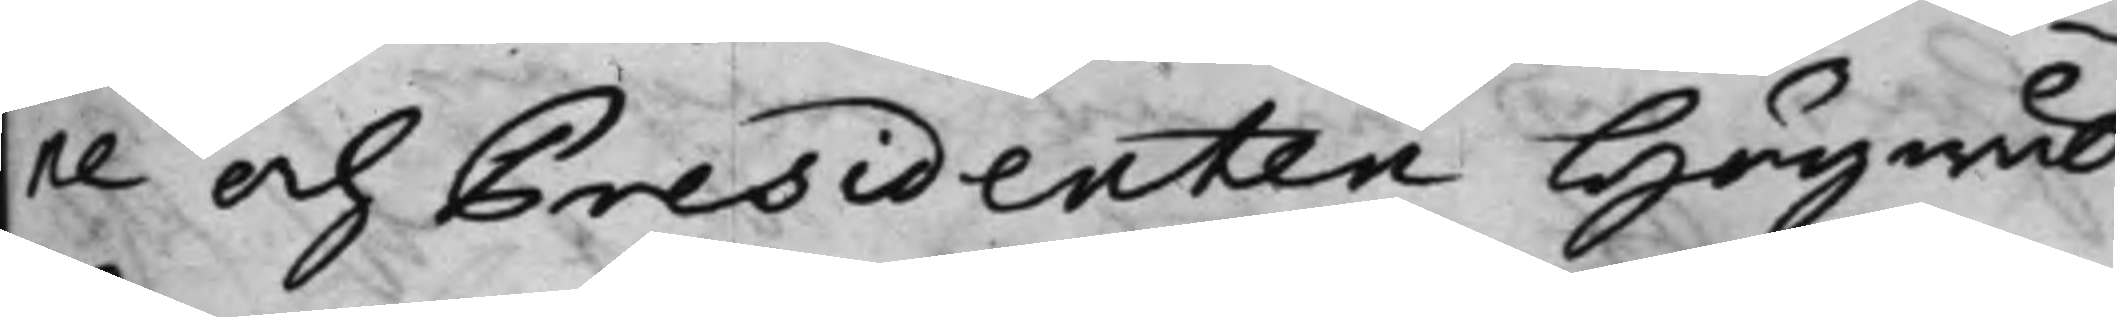ne och Presidenten Högwäl¬
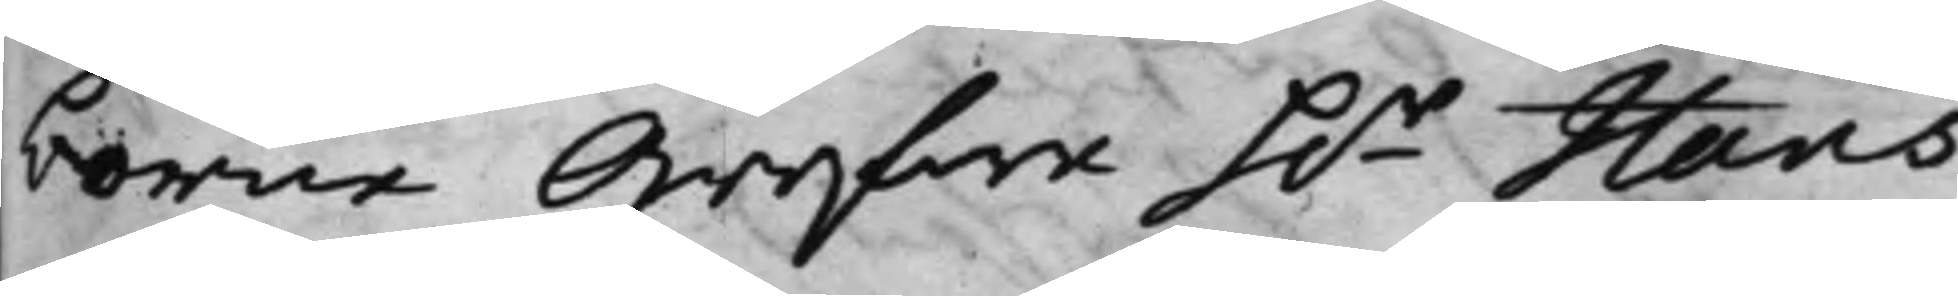borne Grefwe h.r Hans
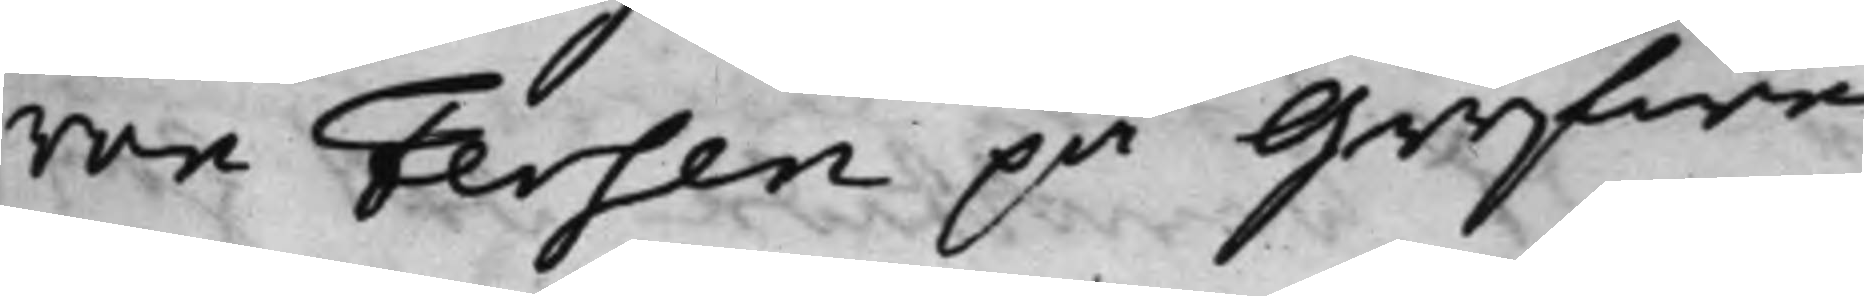von Fersen på Grefwe
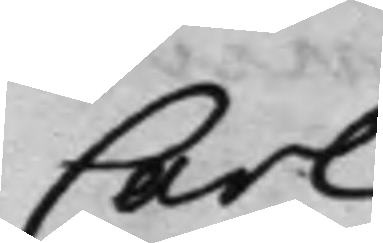Carl
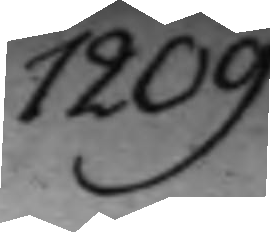1209.
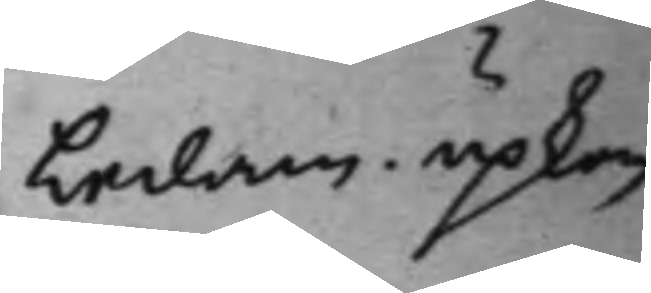Ledam. upkom
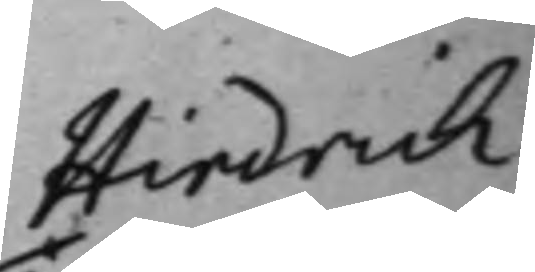Hindrich
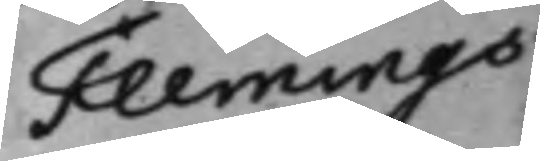Flemmings
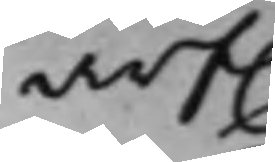arf.
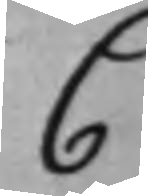C.
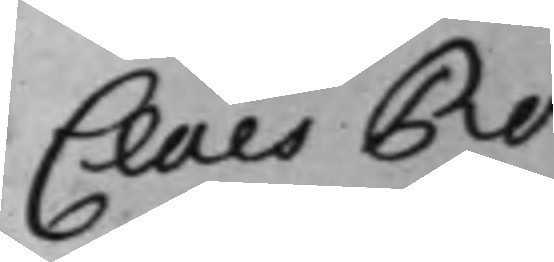Claes Ro¬
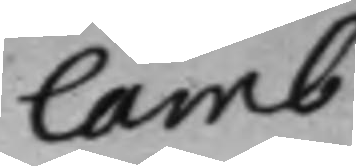lamb.
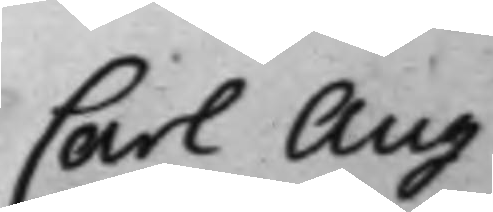Carl Aug:
